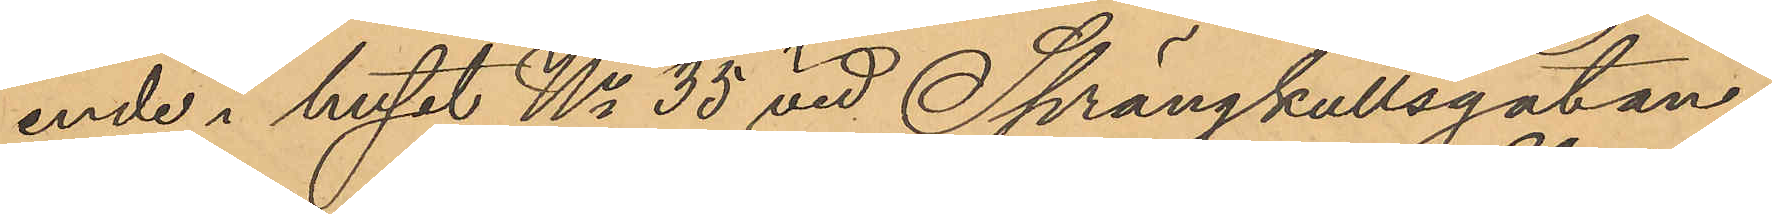ende i huset No 35 vid Sprängkullsgatan,
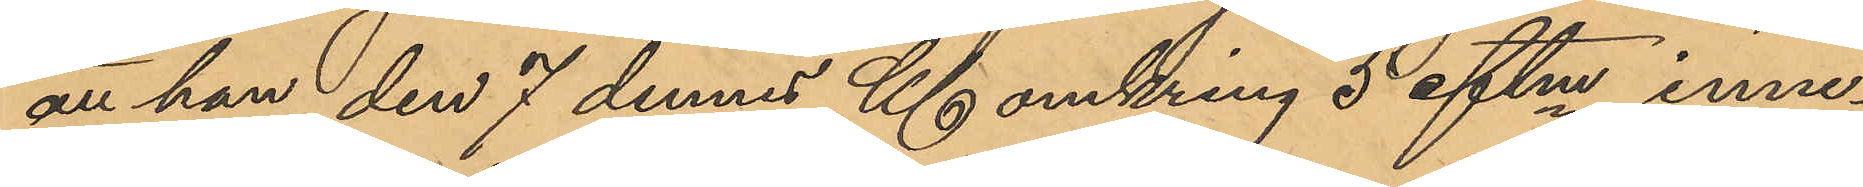att han den 7 dennes Kl. omkring 5 eftm inne¬
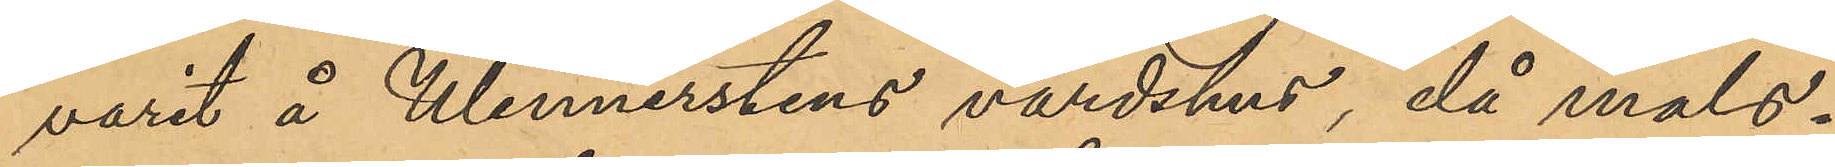varit å Wennerstens värdshus, då måls¬
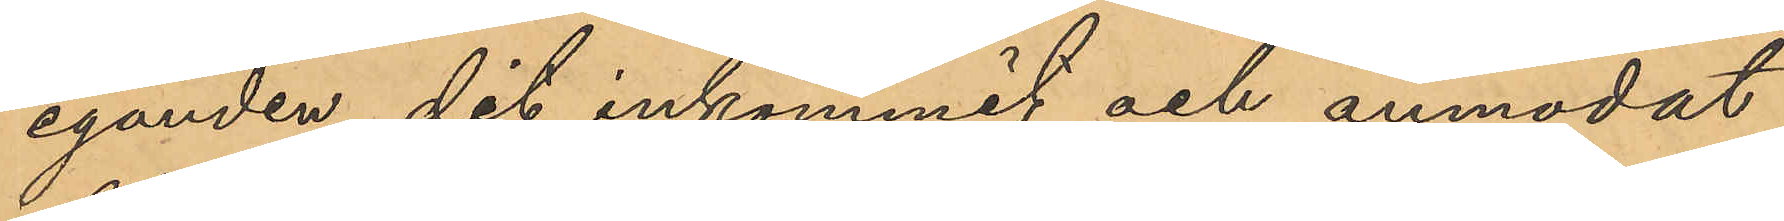eganden dit inkommit och anmodat
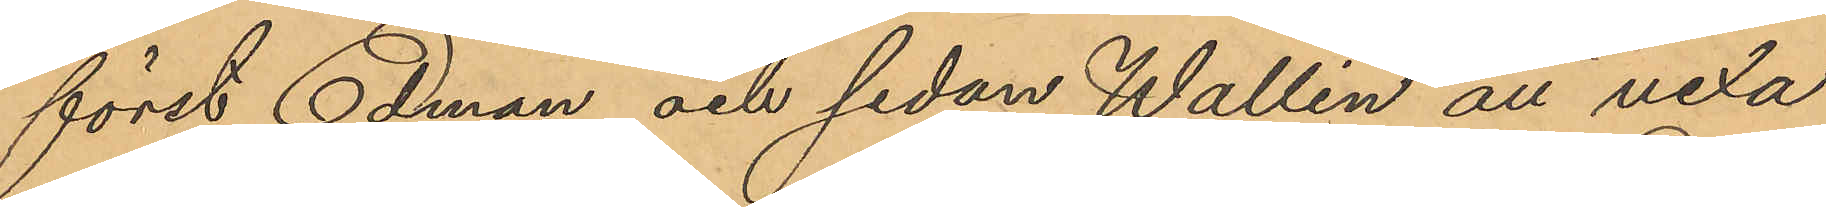först Edman och sedan Wallin att vexla
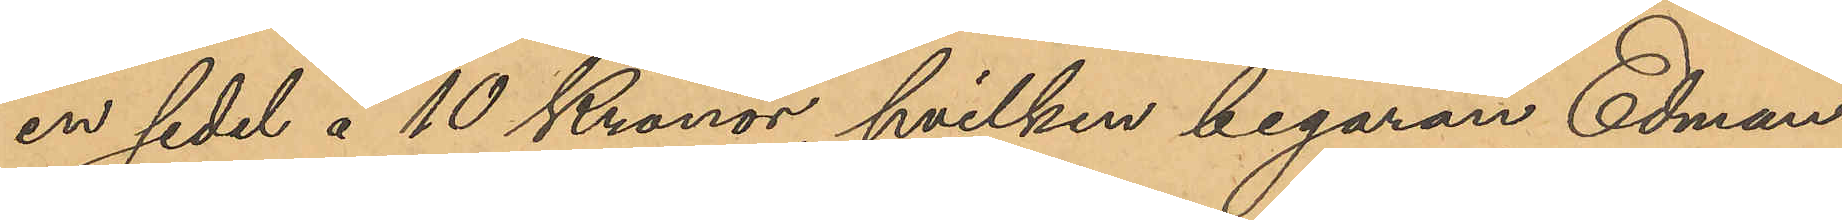en sedel å 10 Kronor, hvilken begäran Edman
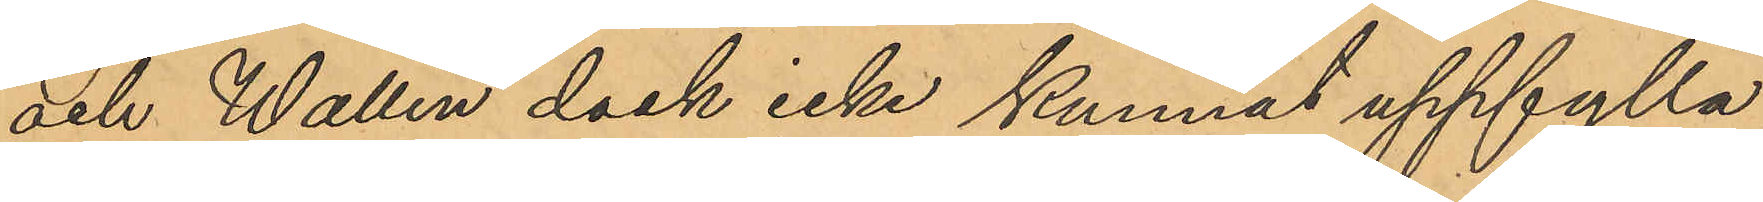och Wallin dock icke kunnat uppfylla;
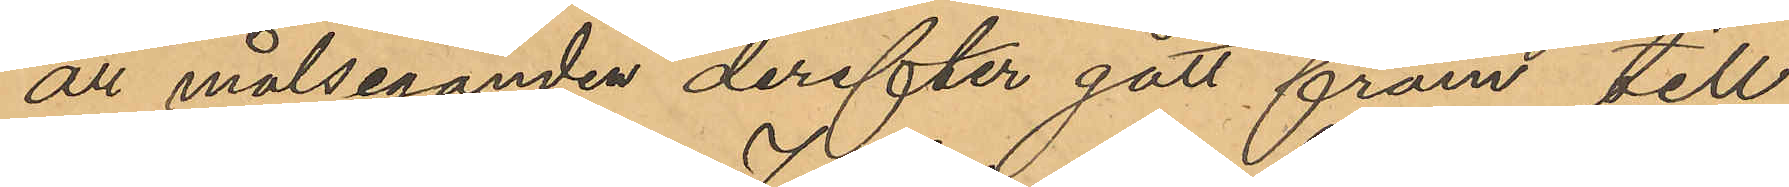att målseganden derefter gått fram till
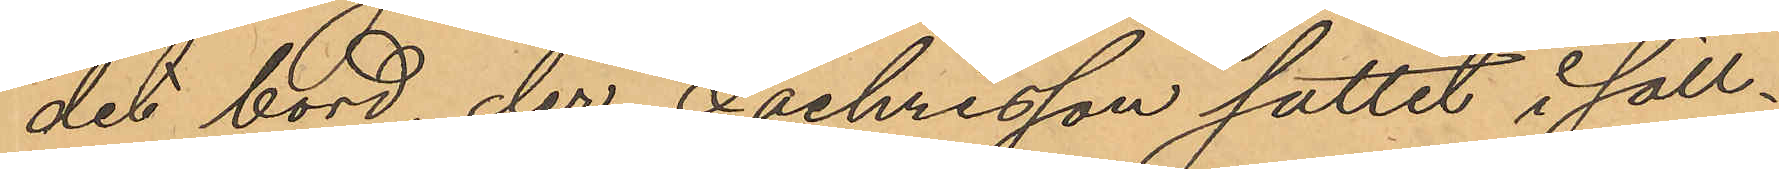det bord, der Zachrisson suttit i säll¬
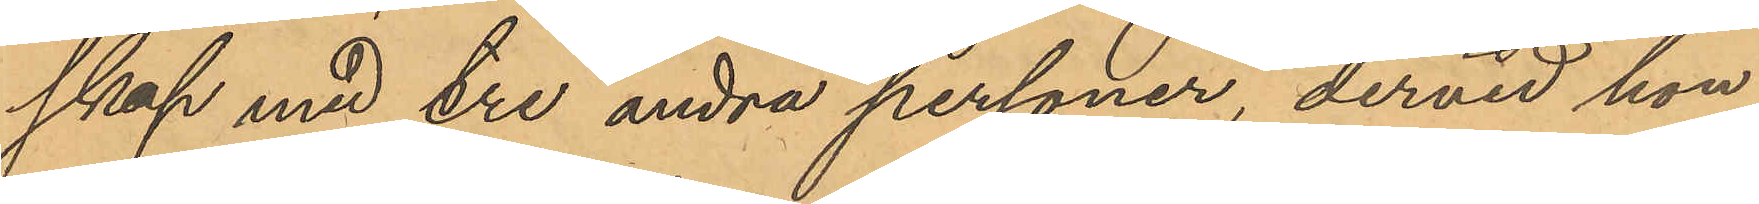skap med tre andra personer, dervid hon
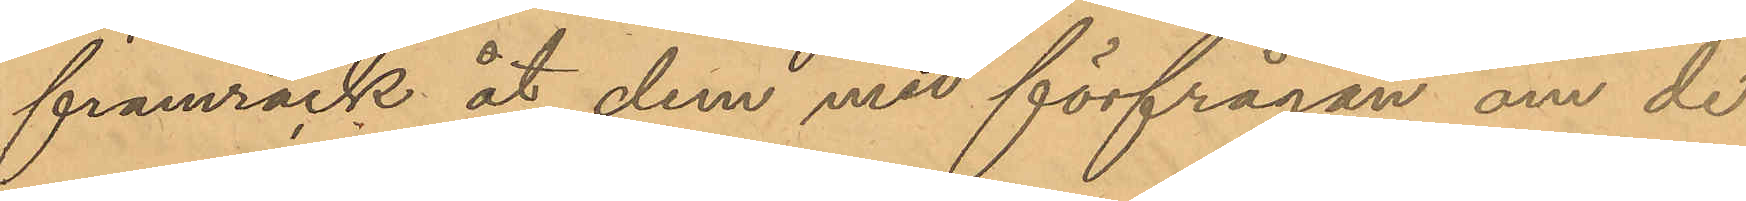framräck åt dem med förfrågan om de
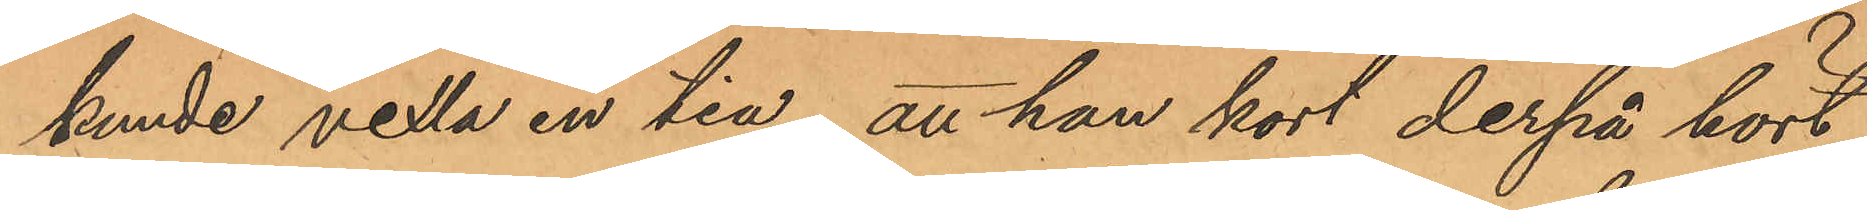kunde vexla en tia, att han kort derpå hört
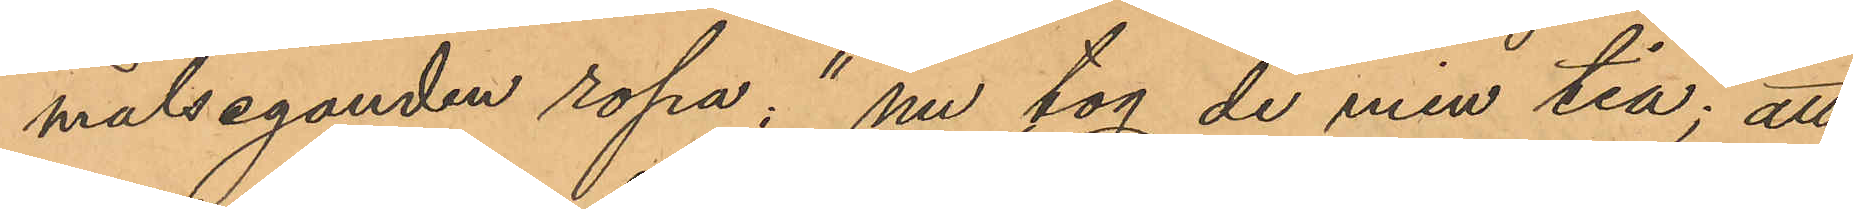målseganden ropa; "nu tog du min tia; att
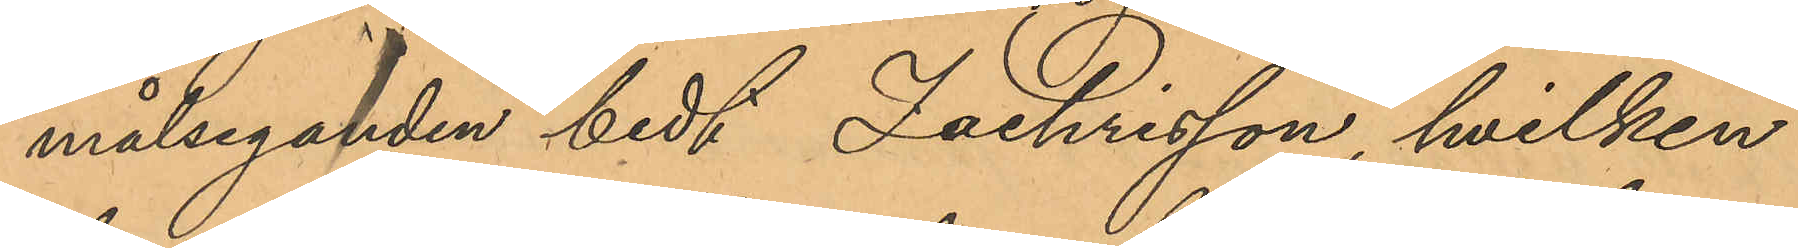målseganden bedt Zachrisson, hvilken
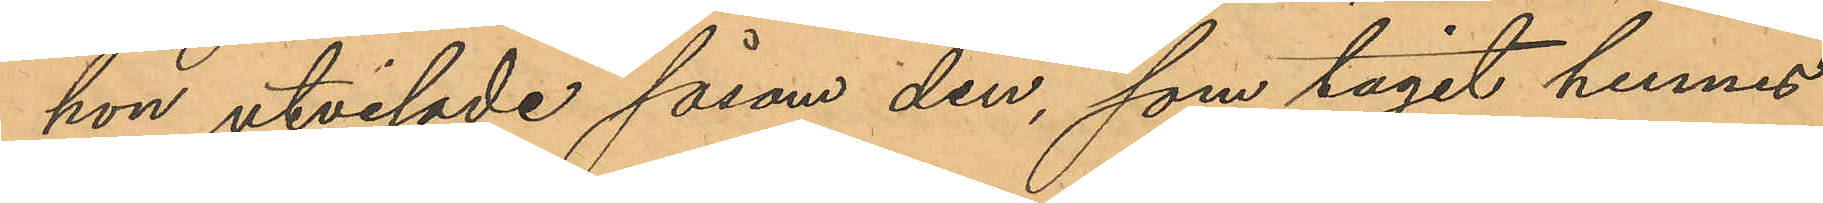hon utvisade såsom den, som tagit hennes
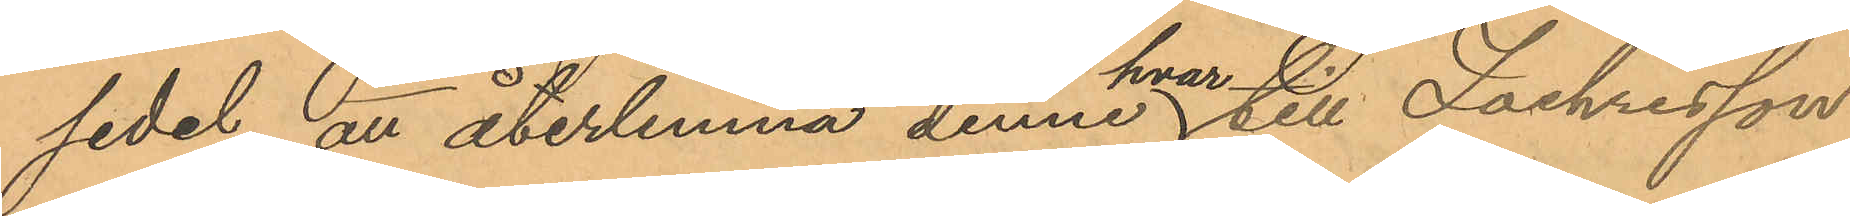sedel, att återlemna denne hvartill Zachrisson
